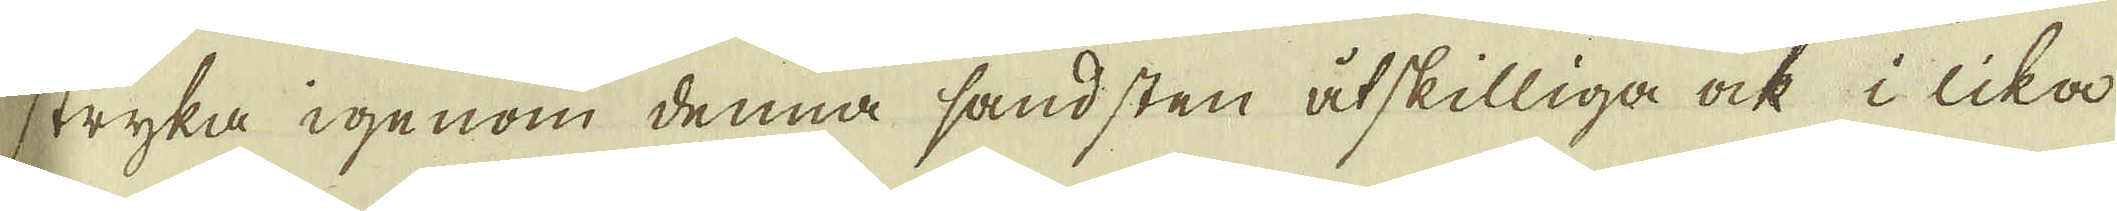stryka igenom denna sandsten åtskilliga ock i lika
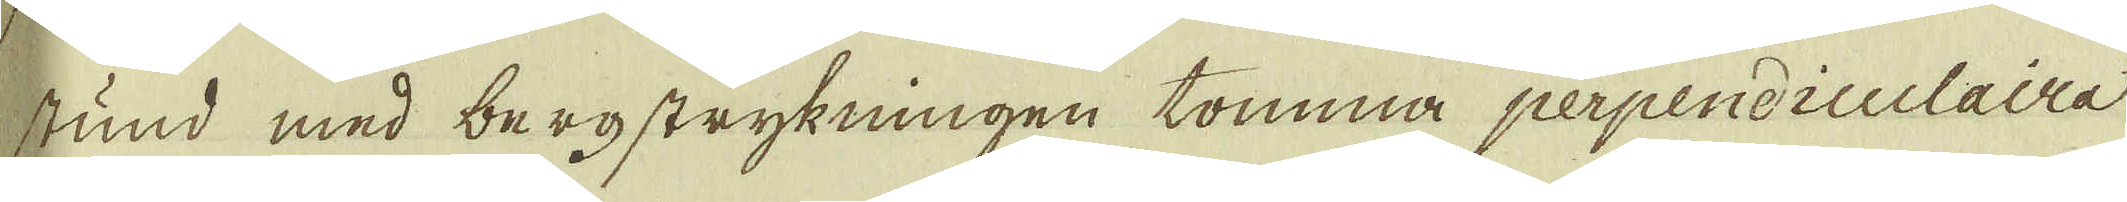stund med bergstrykningen tomma perpendiculaira
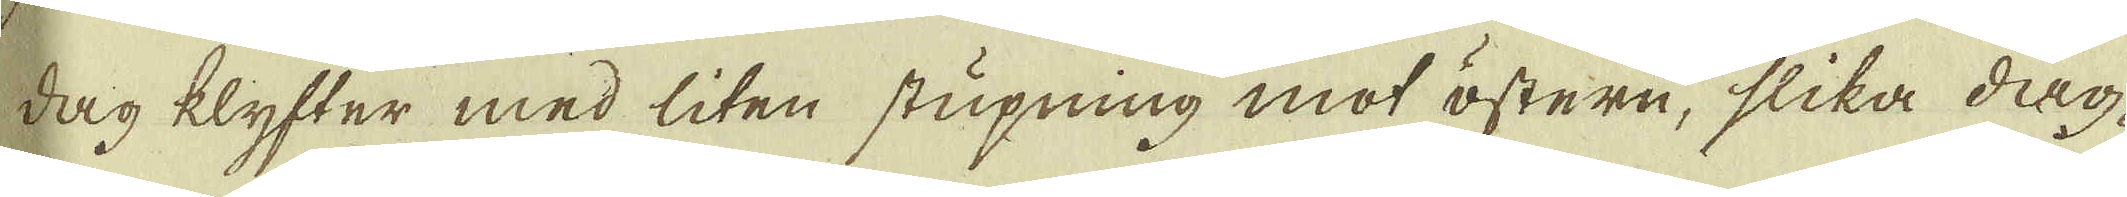dag klyfter med liten stupning mot östern, slika dag-
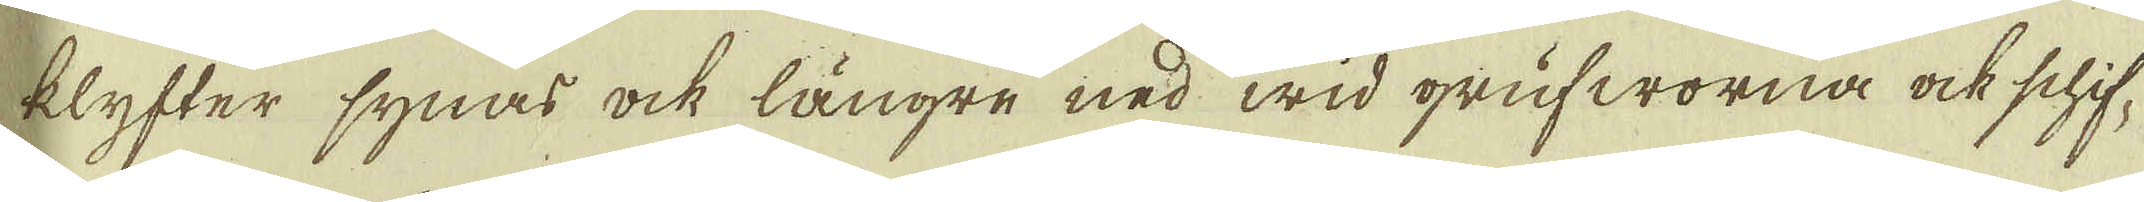klyfter synas ock längre ned wid grufworna ock schif-
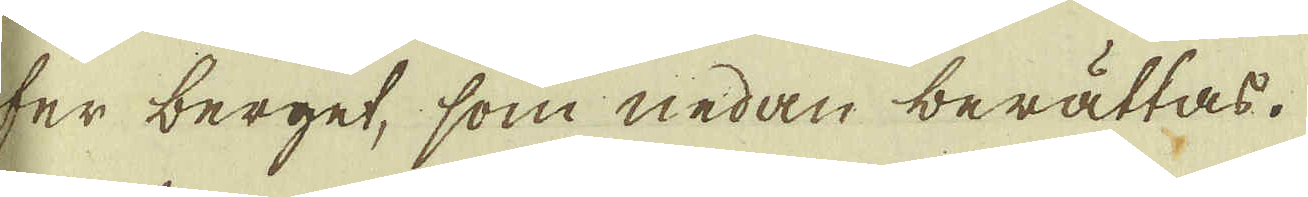ter berget, som nedan berättas.
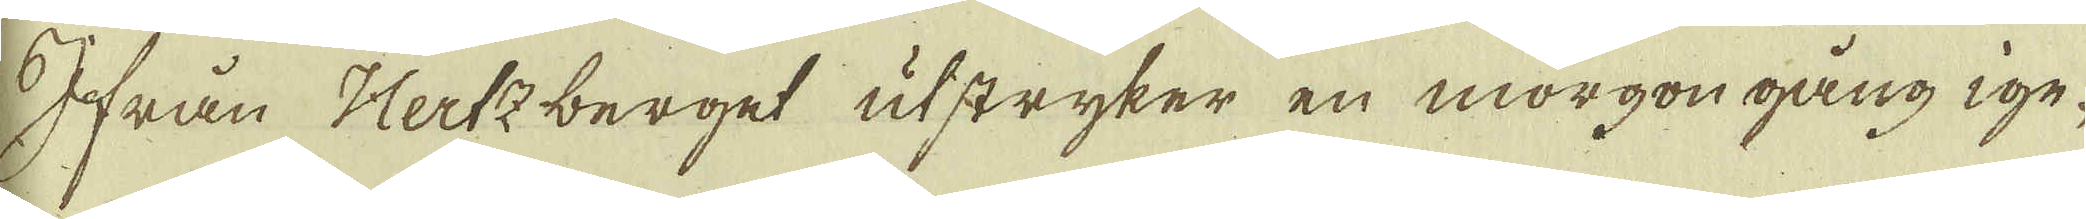Ifrån Hertzberget utstryker en morgongång ige-
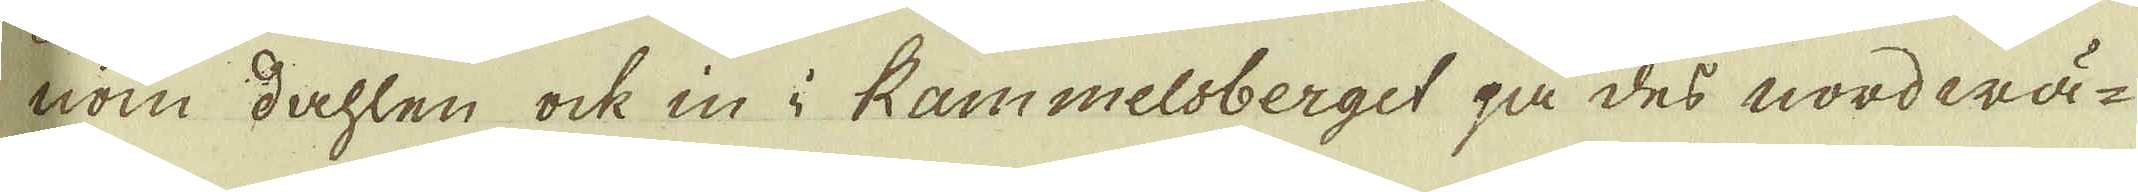nom dahlen ock in i Rammelsberget på des nordwä-
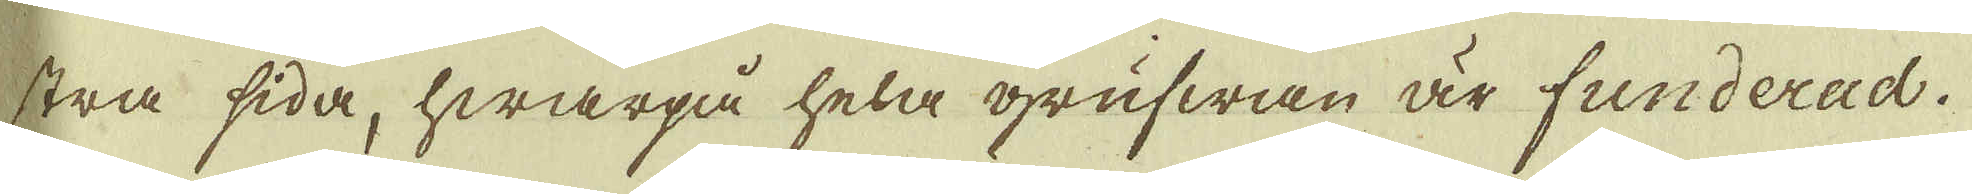stra sida, hwarpå hela grufwan är funderad.
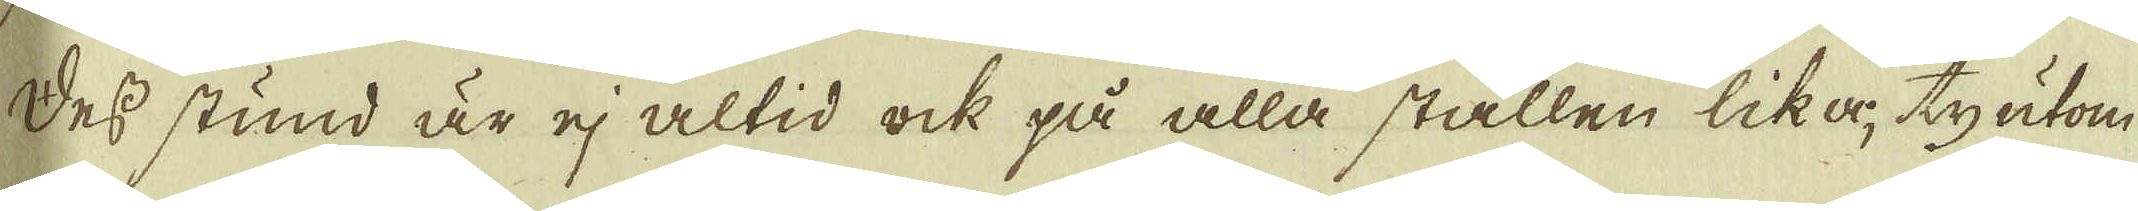Dess stund är ej altid ock på alla ställen lika ty utom
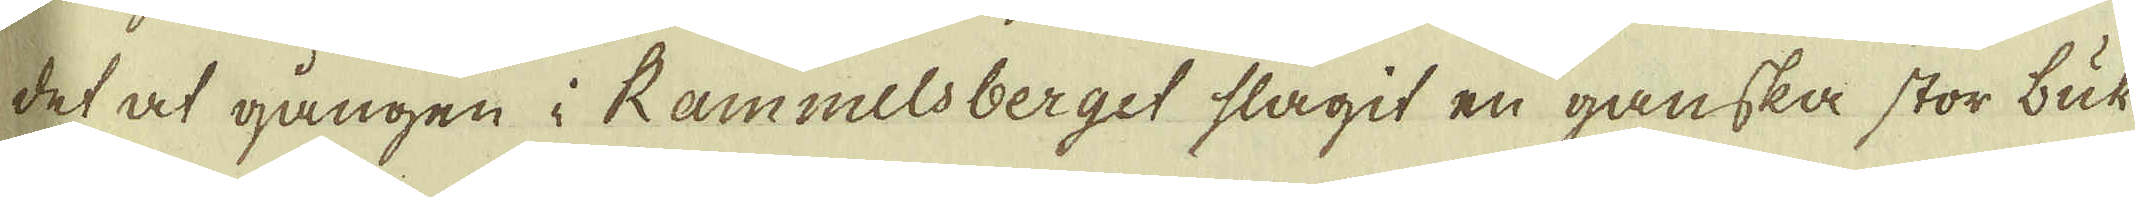det at gången i Rammelsberget slagit en ganska stor buk
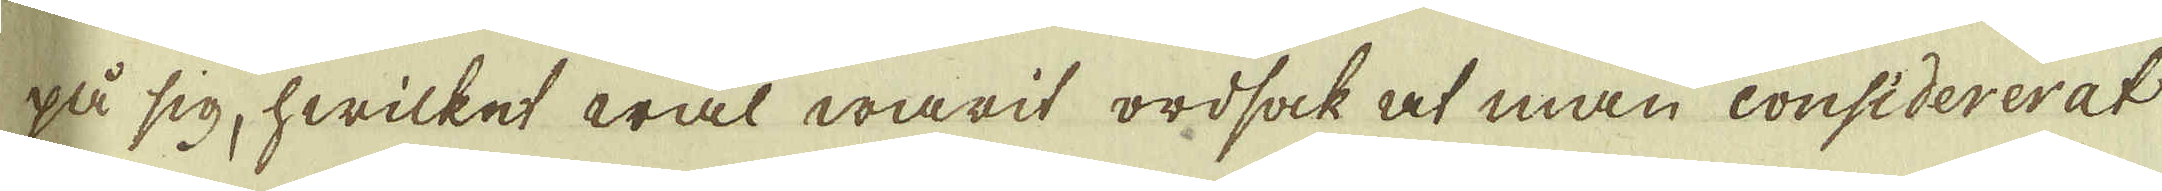på sig, hwilket wäl warit ordsak at man considererat
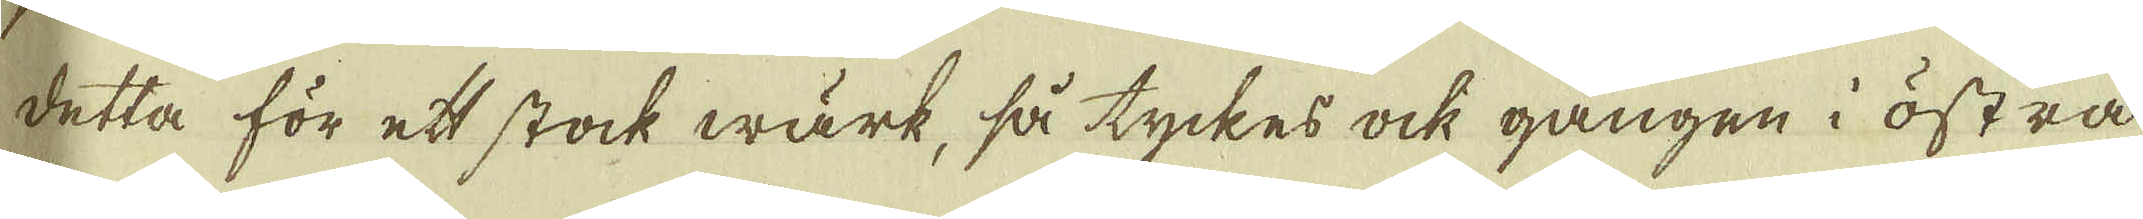detta för ett stock wärk, så tyckes ock gången i östra
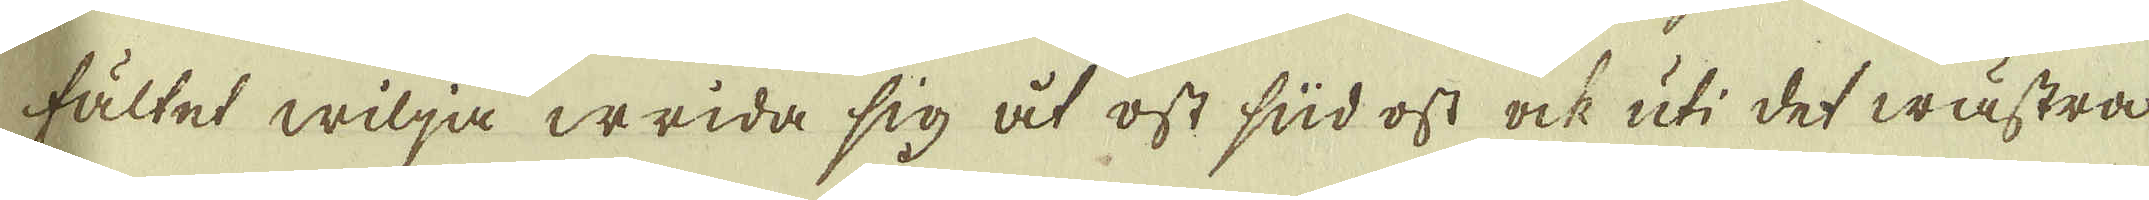fältet wilja wrida sig åt ost süd ost ock uti det wästra
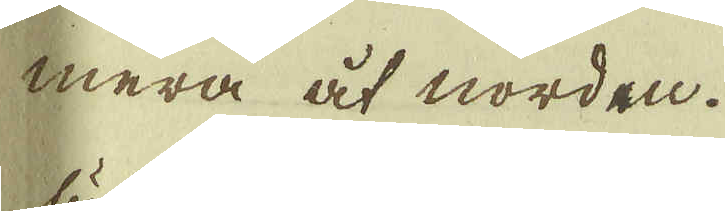mera åt nordan.
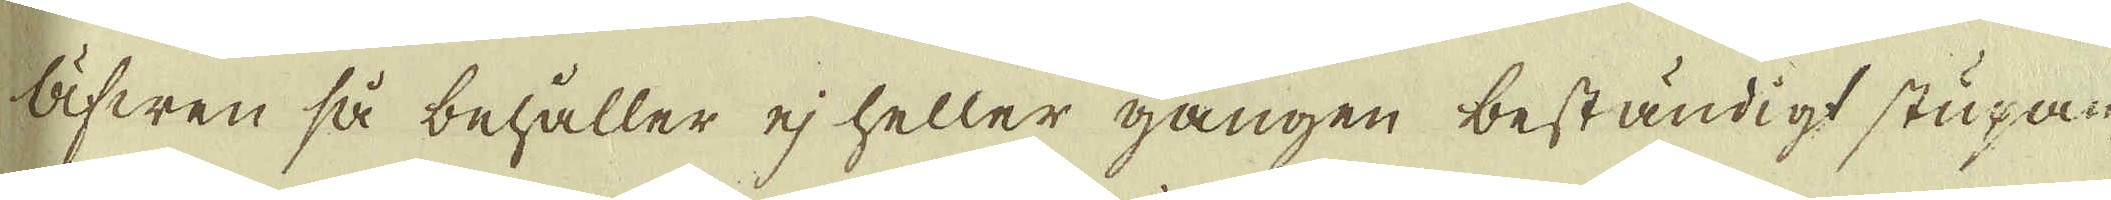Äfwen så behåller ej heller gången beständigt stupan-
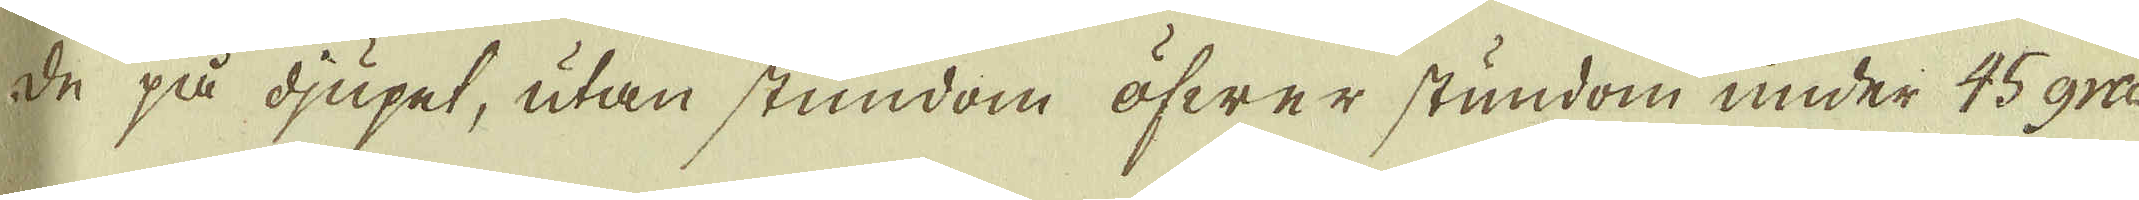de på djupet, utan stundom öfwer stundom under 45 gra-
